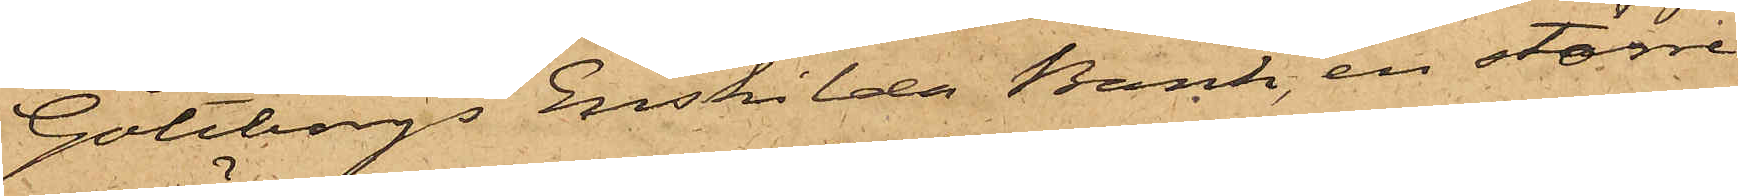Göteborgs Enskilda Bank, en större
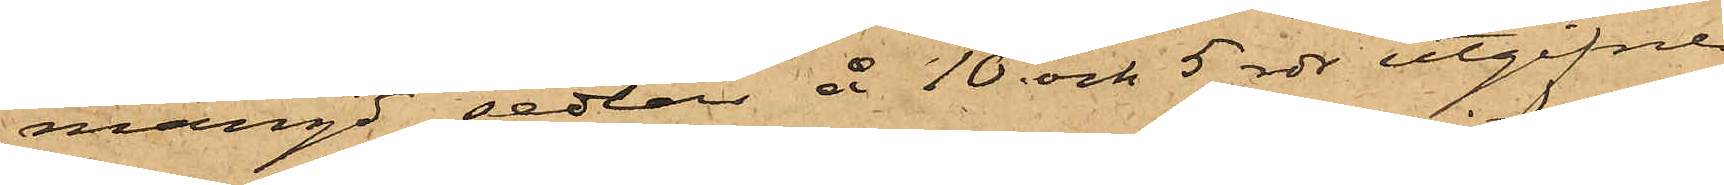mängd sedlar å 10 och 5 rdr utgifne
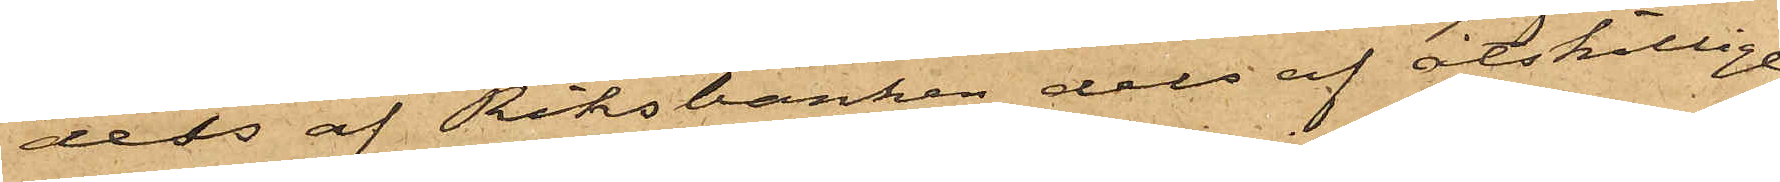dels af Riksbanken dels af åtskillige
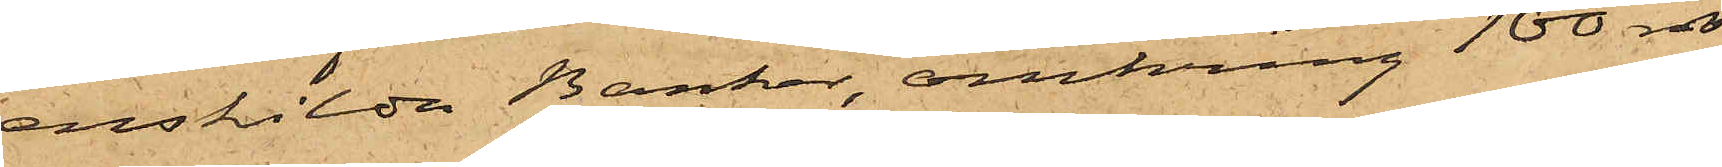enskilda Banker, omkring 100 rdr
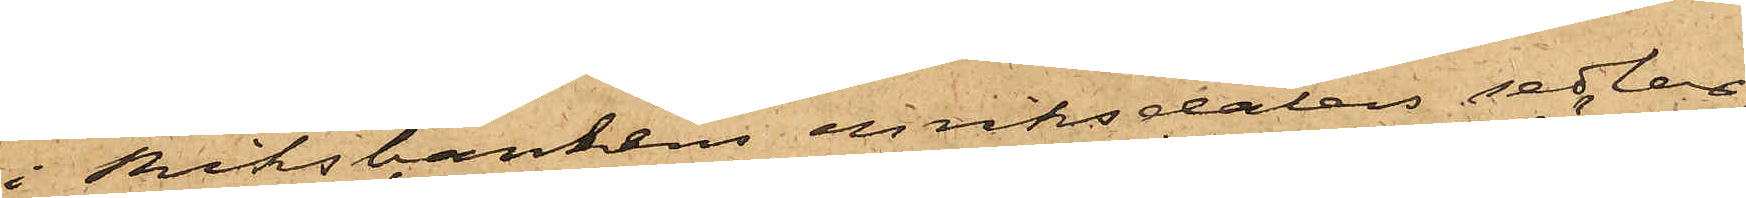i Riksbankens enriksdalers sedlar,
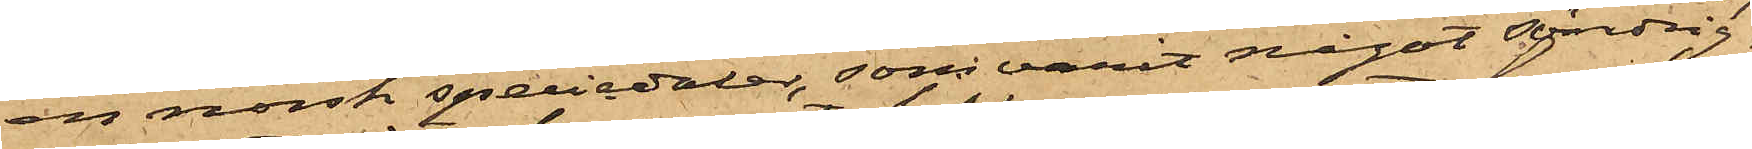en norsk speciedaler, som varit något söndrig,
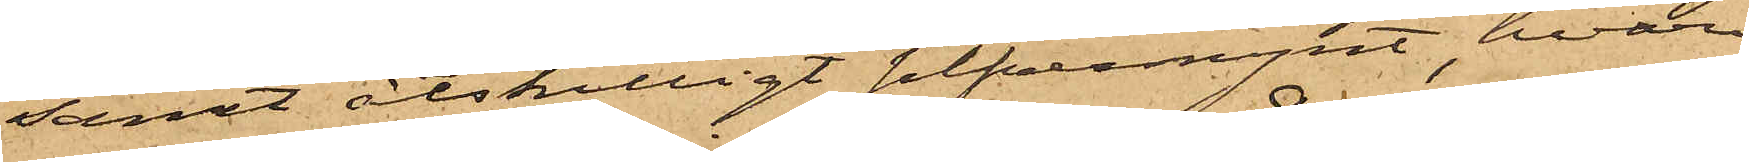samt åtskilligt silfvermynt, hvari¬
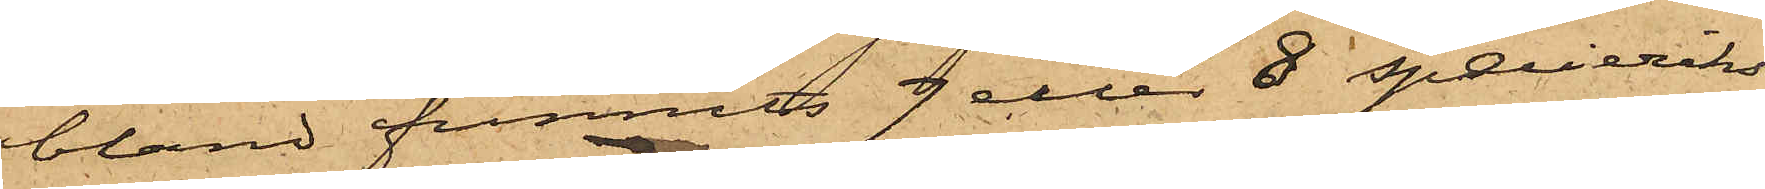bland funnits 7 eller 8 specieriks¬
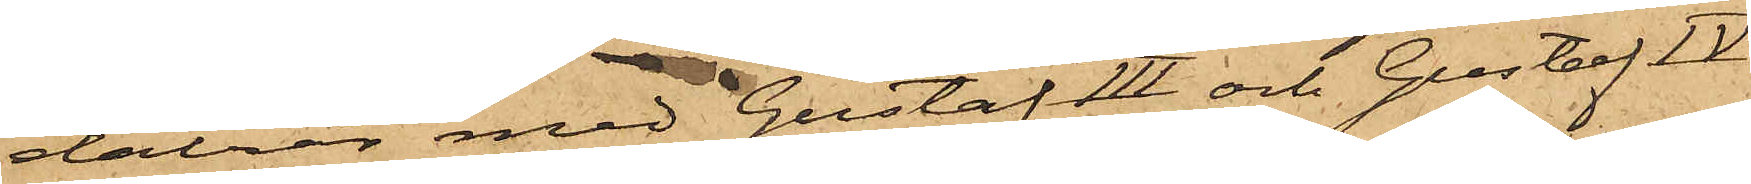daler med Gustaf III och Gustaf IV
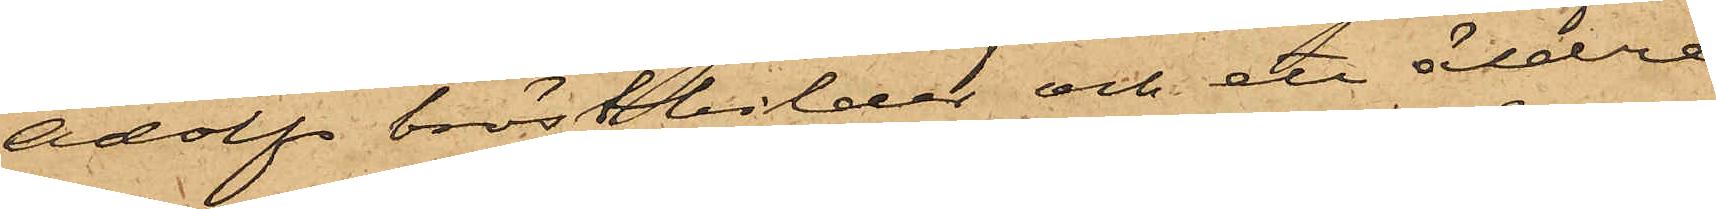Adolfs bröstbilder och ett äldre
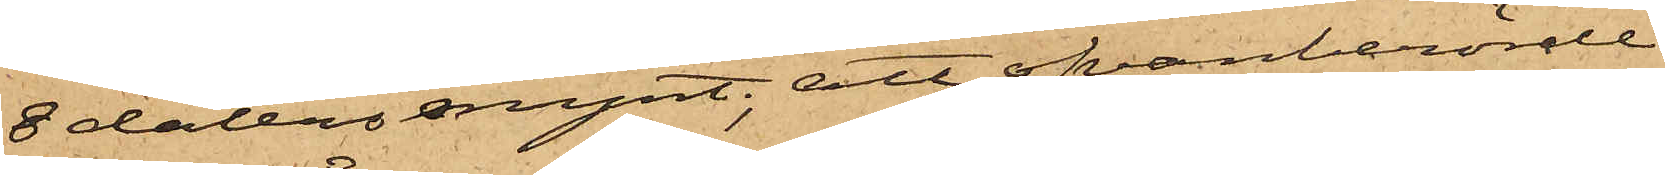8 dalersmynt; att ofvanberörde
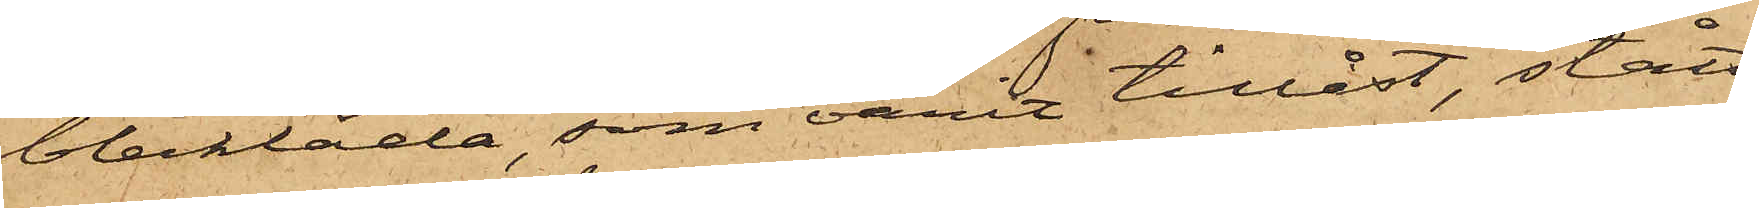blecklåda, som varit tillåst, stått
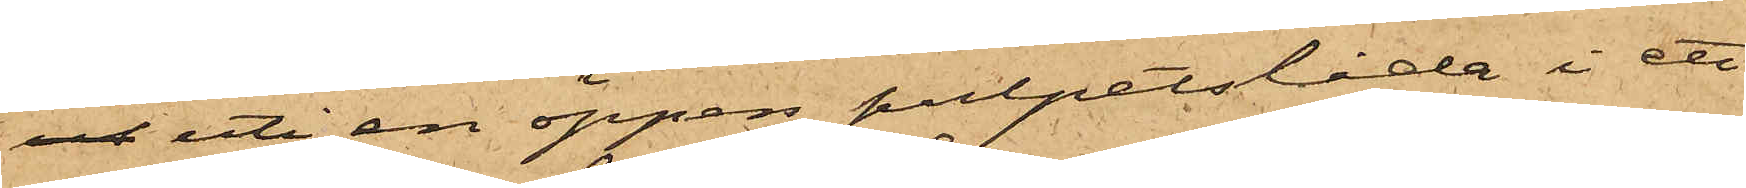ut uti en öppen pulpetslåda i ett
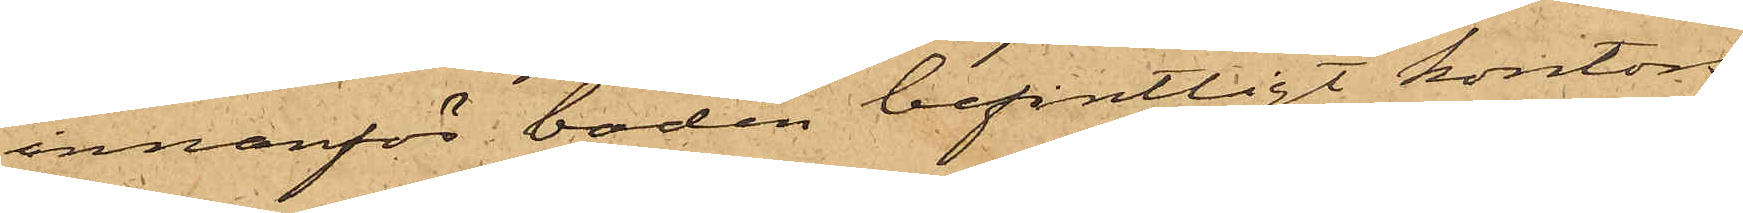innanför boden befintligt kontors¬
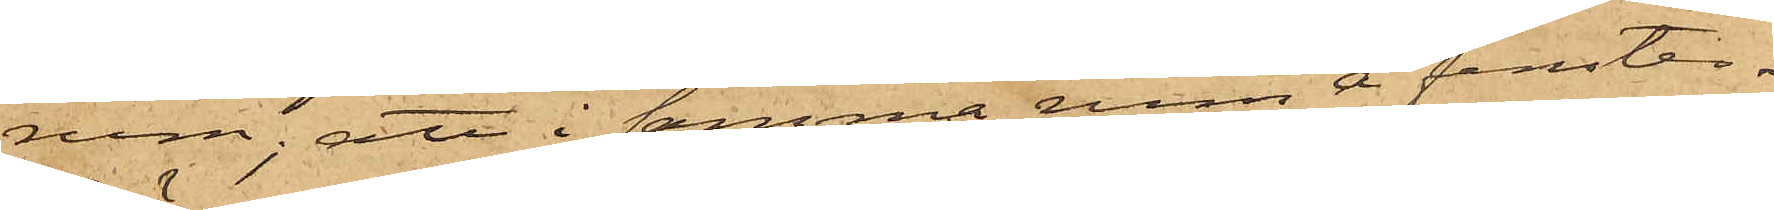rum; att i samma rum å fenster¬
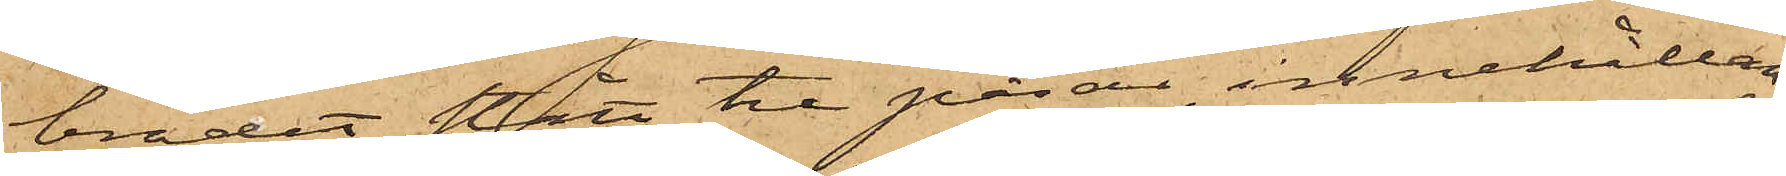brädet stått tre påsar, innehållan¬
